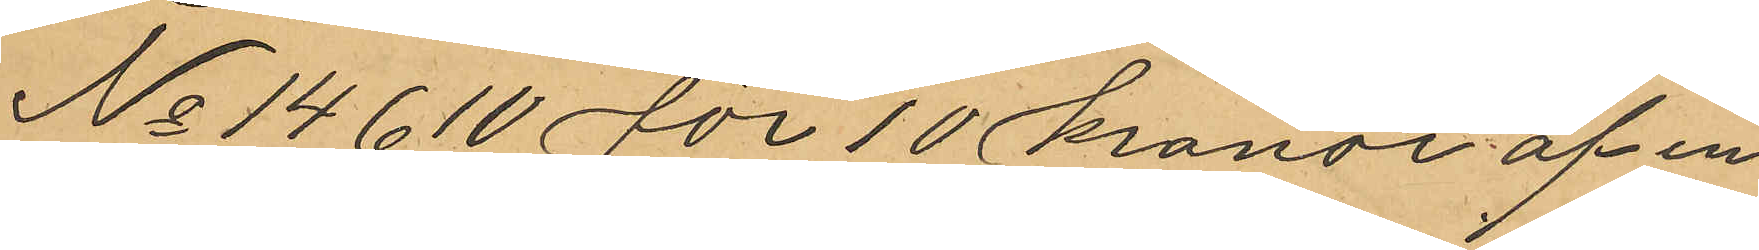No 14610 för 10 kronor af en
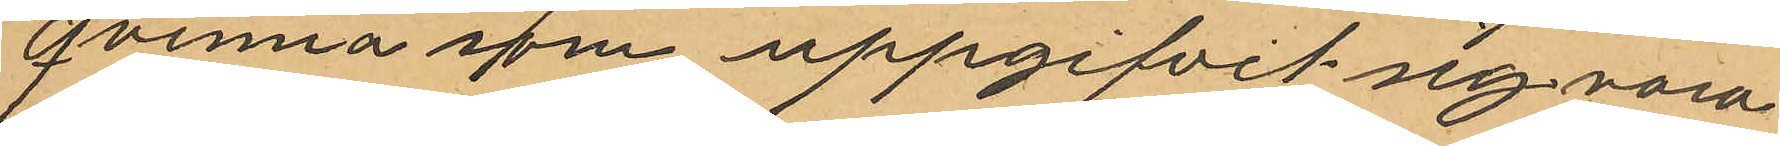qvinna som uppgifvit sig vara
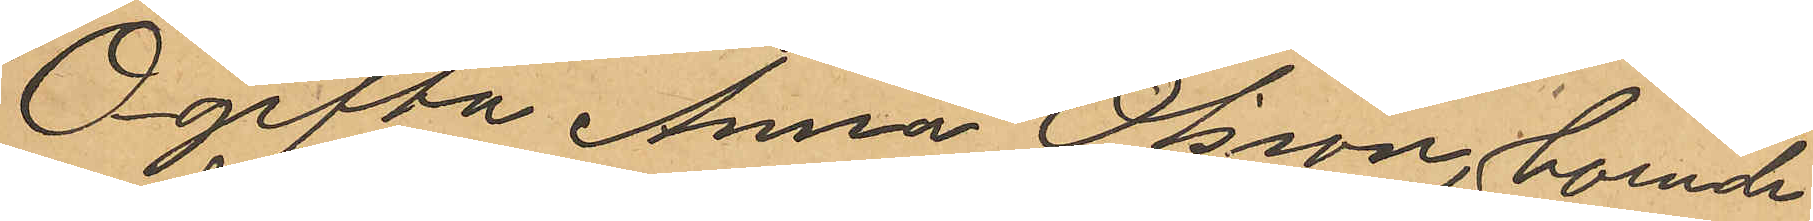Ogifta Anna Olsson, boende
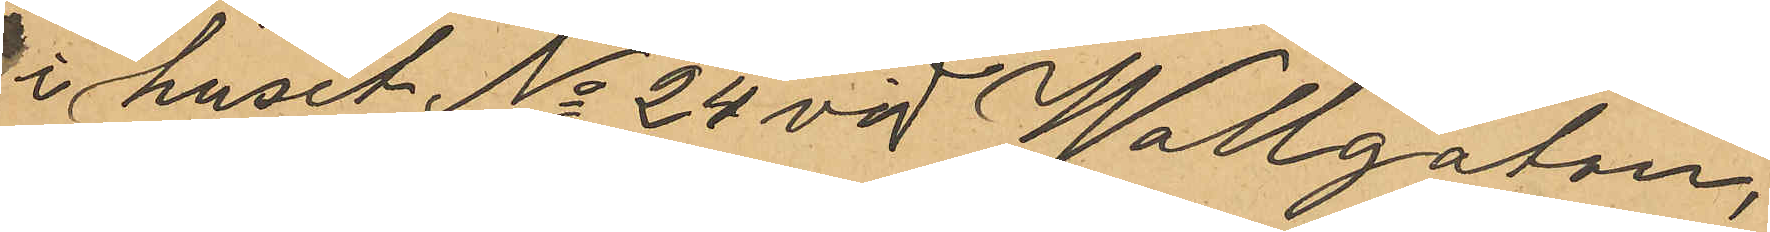i huset No 24 vid Wallgatan,
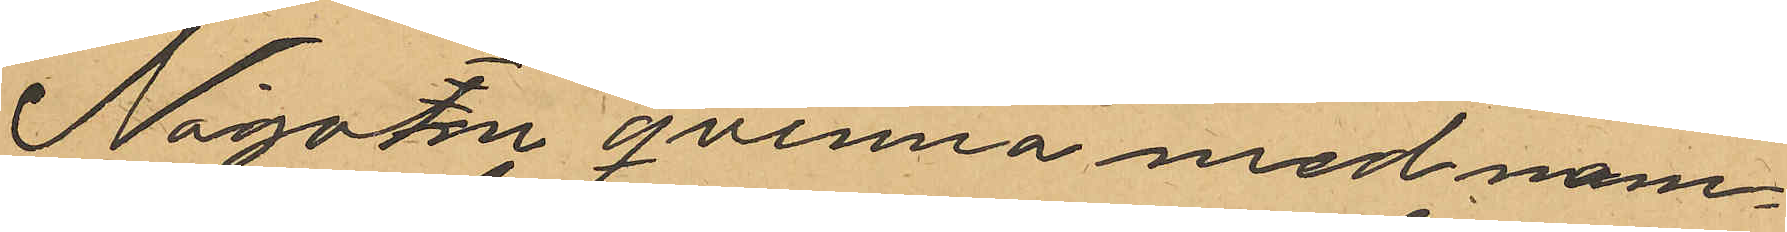Någon qvinna med nam¬
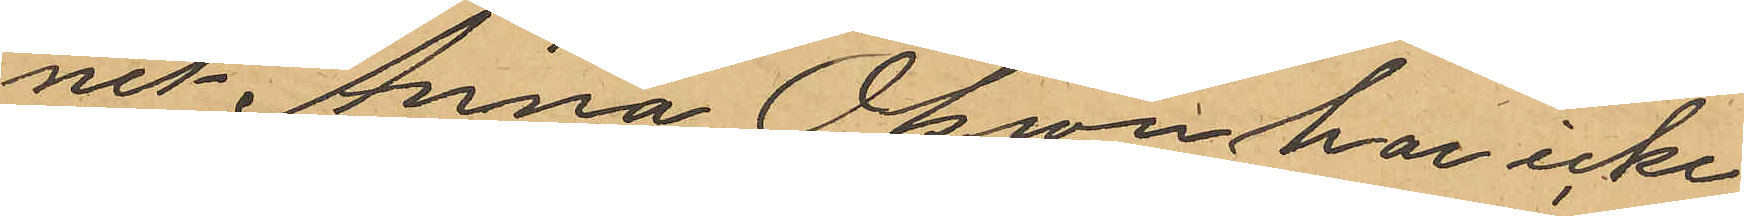nes Anna Olsson har icke
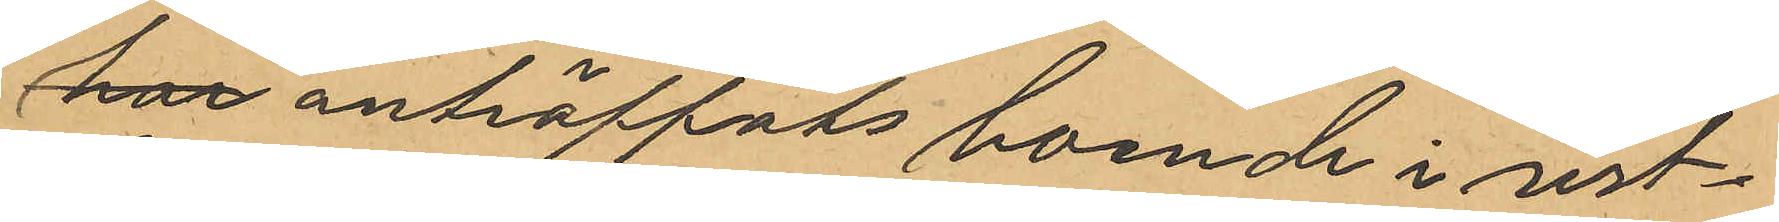här anträffats boende i sist¬
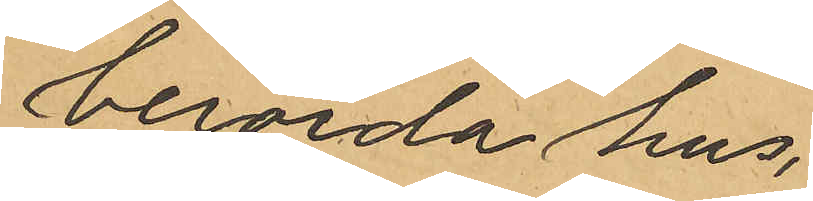berörda hus.
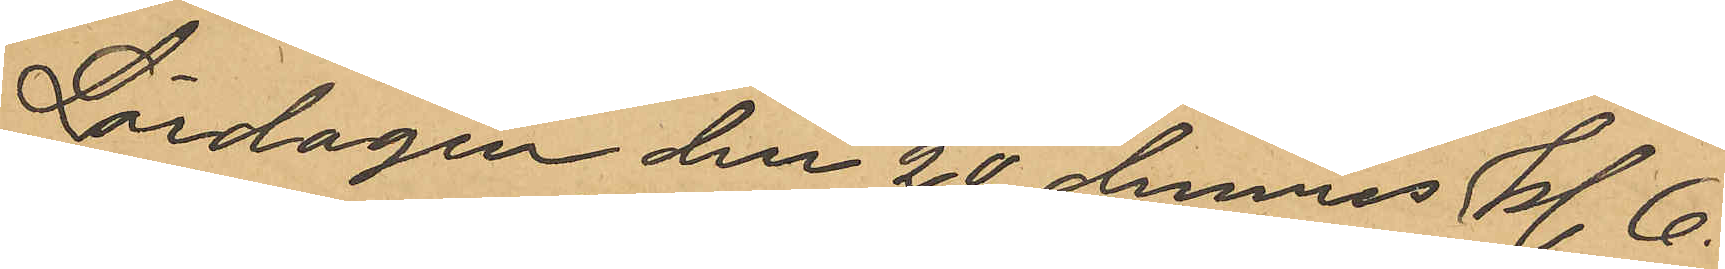Lördagen den 20 dennes kl. 6
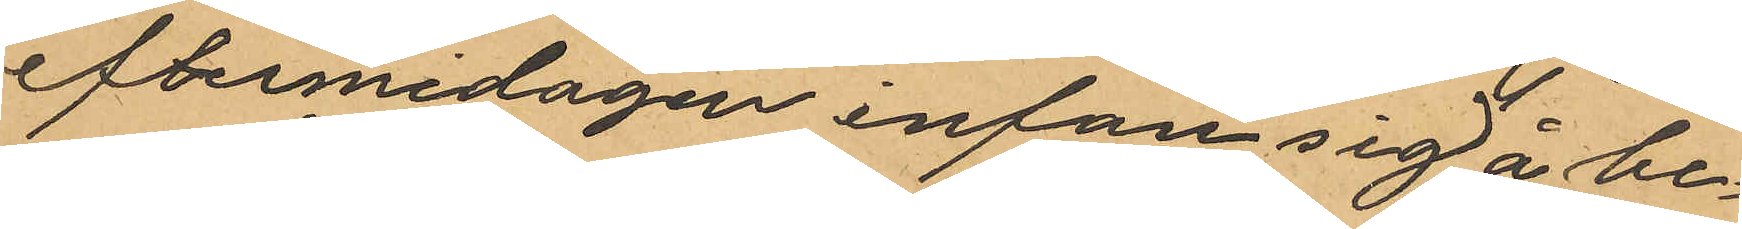eftermidagen infan sig å be¬
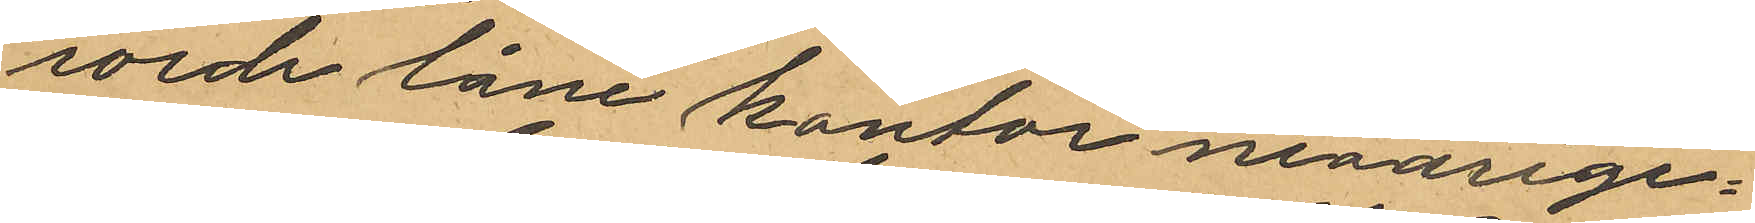rörde låne kontor nioårige¬
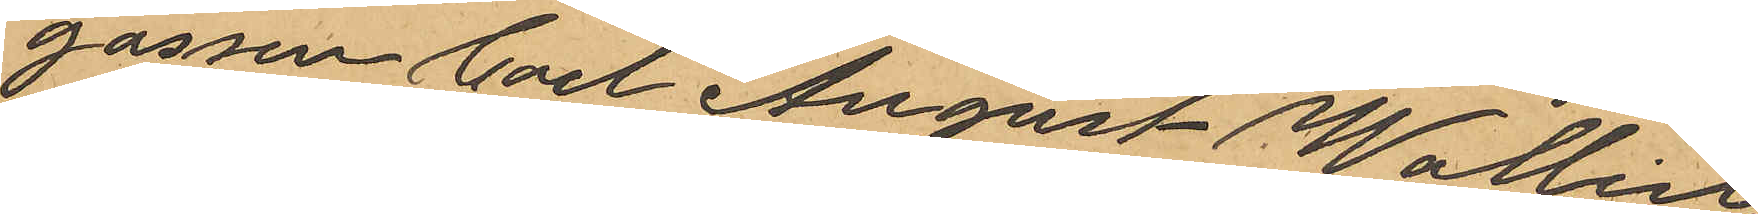gossen Carl August Wallin,
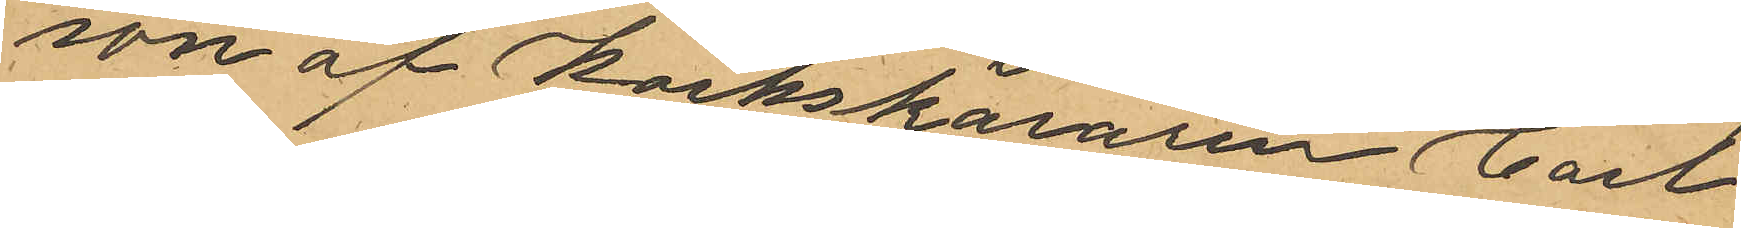son af Korkskäraren Carl
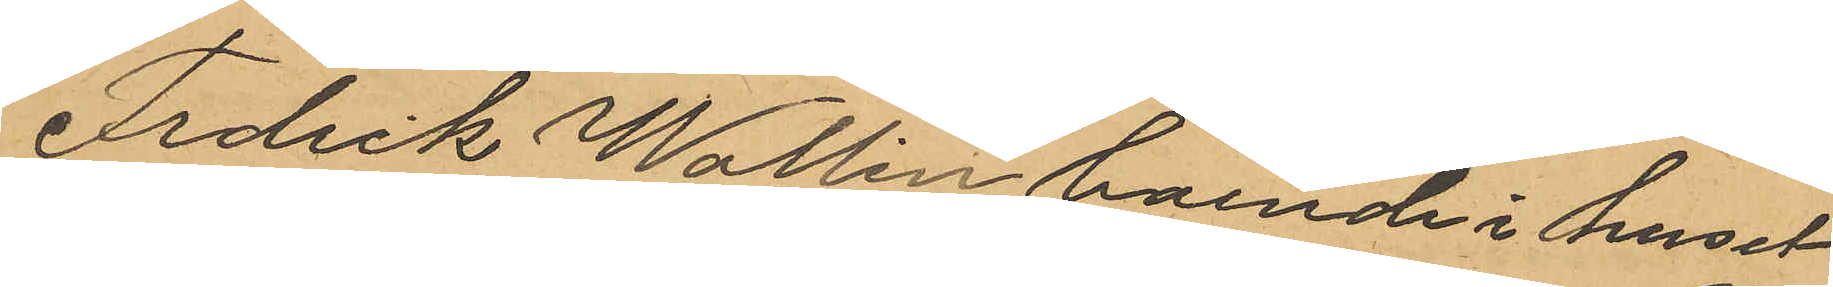Fredrik Wallin boende i huset
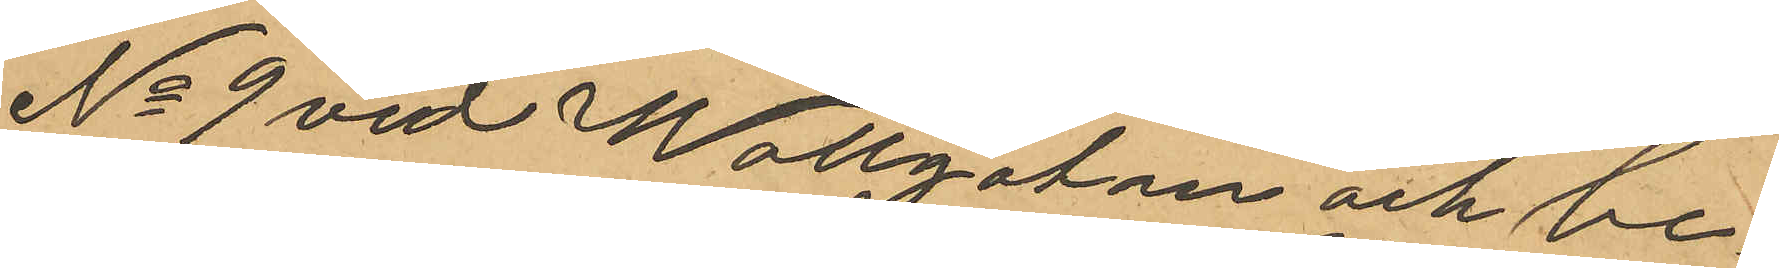No 9 vid Wallgatan och be¬
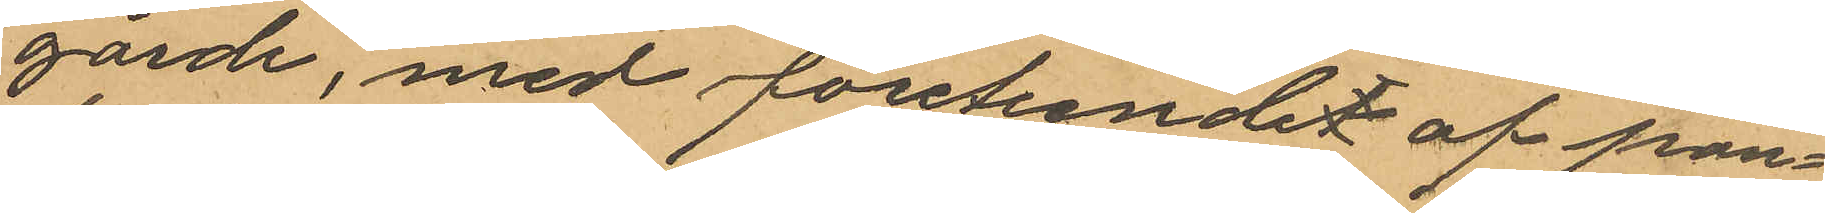gärde, med företeende af pan¬
